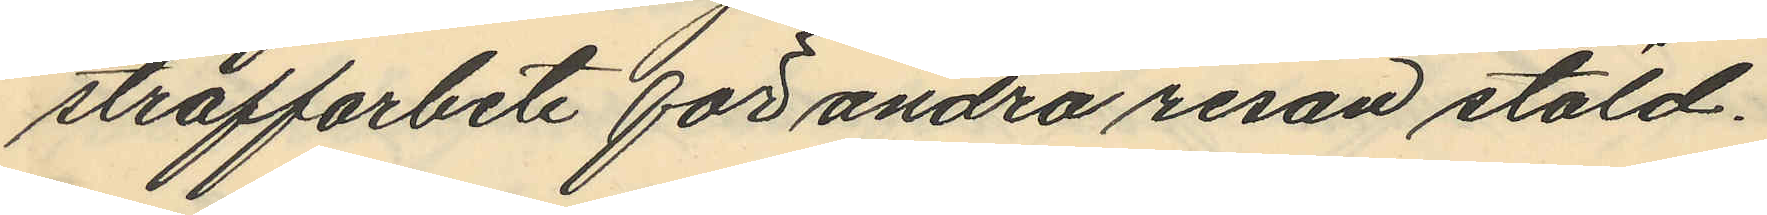straffarbete för andra resan stöld.
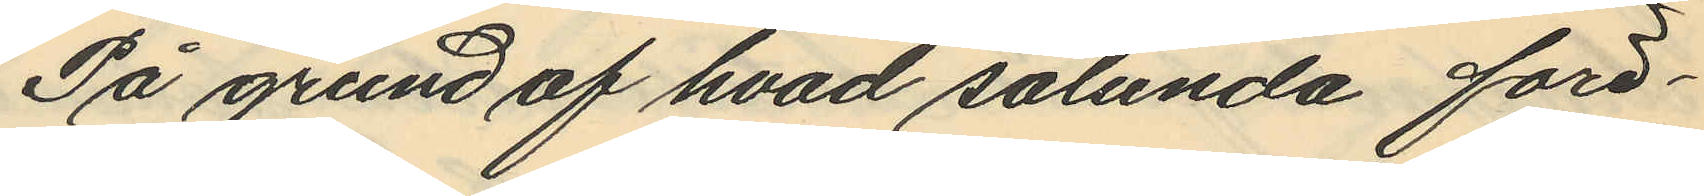På grund af hvad sålunda före¬
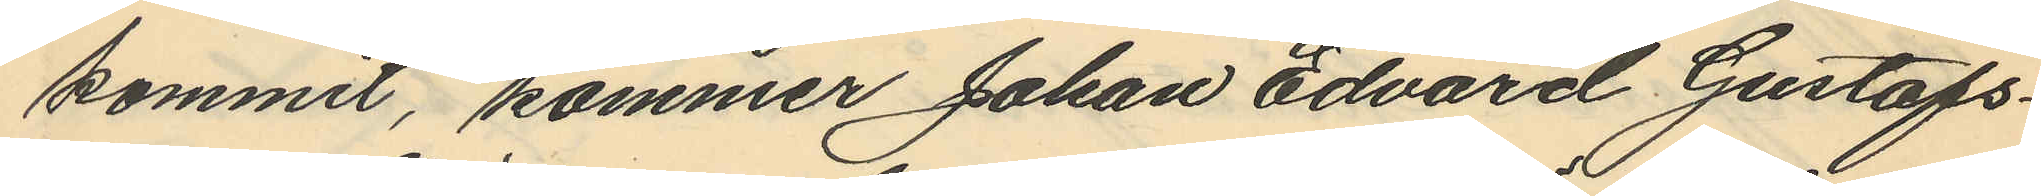kommit, kommer Johan Edvard Gustafs¬
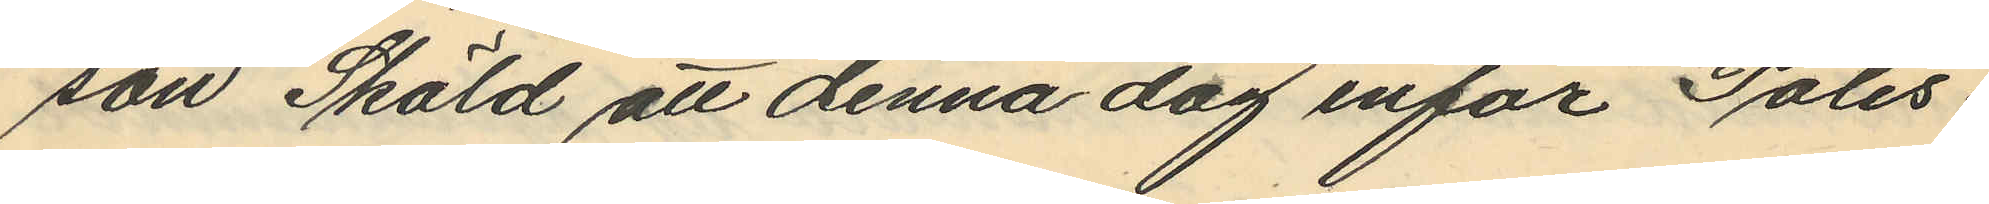son Sköld att denna dag inför Polis¬
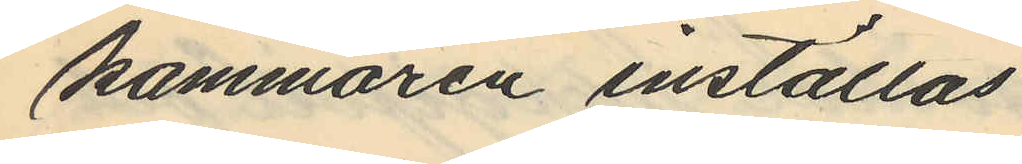kammaren inställas.
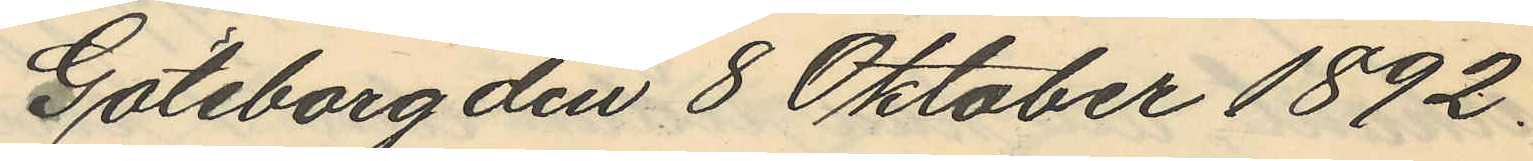Göteborg den 8 Oktober 1892.
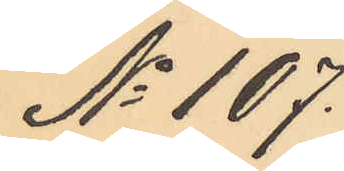No 107.
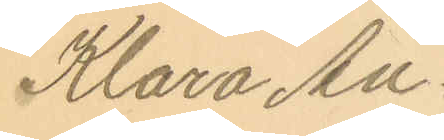Klara An¬
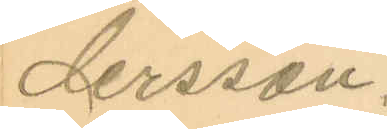dersson.
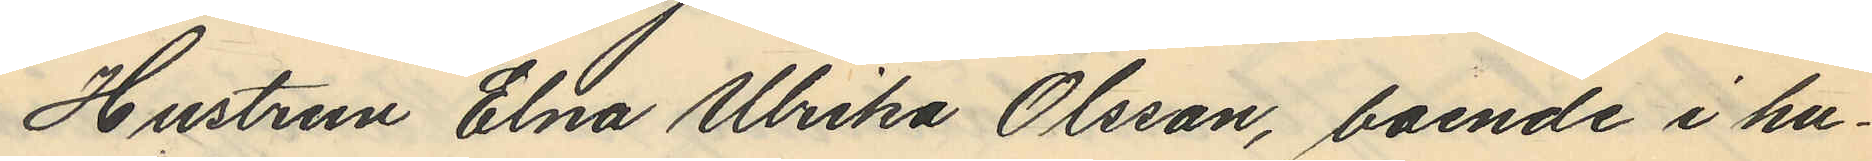Hustrun Elna Ulrika Olsson, boende i hu¬
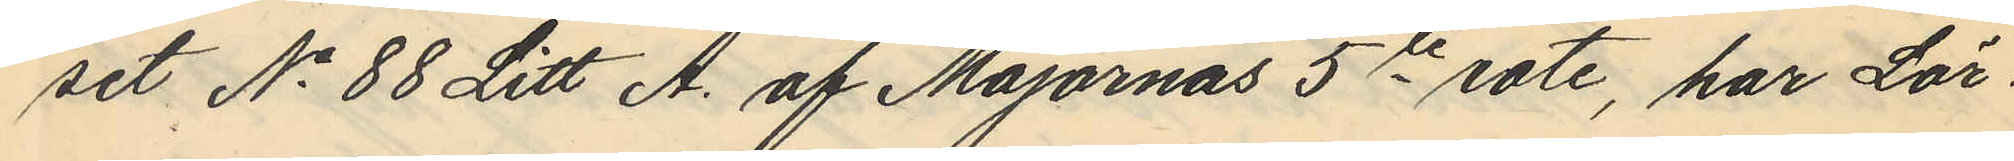set No 88 Litt A. af Majornas 5te rote, har Lör¬
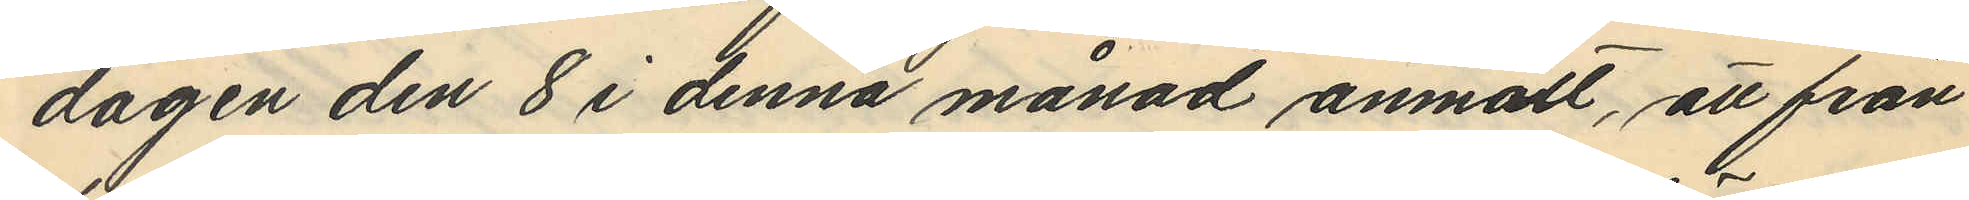dagen den 8 i denna månad anmält, att från
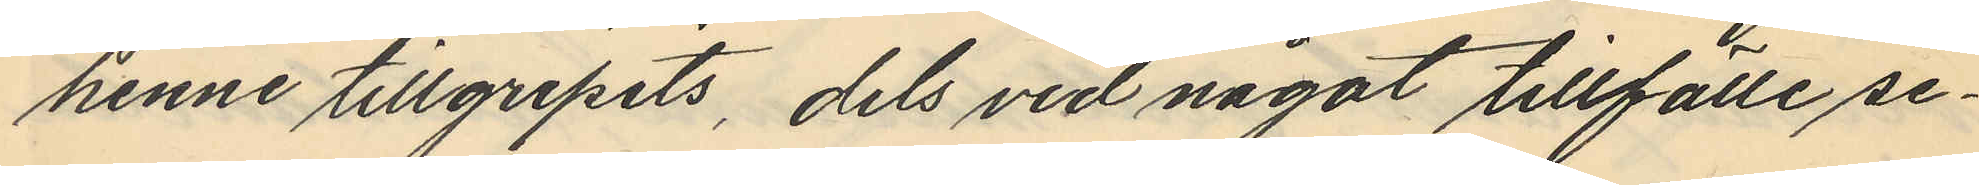henne tillgripits, dels vid något tillfälle se¬
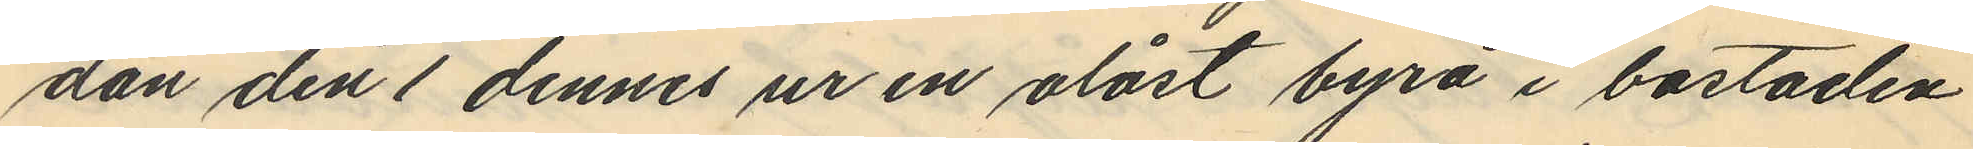dan den 1 dennes ur en olåst byrå i bostaden
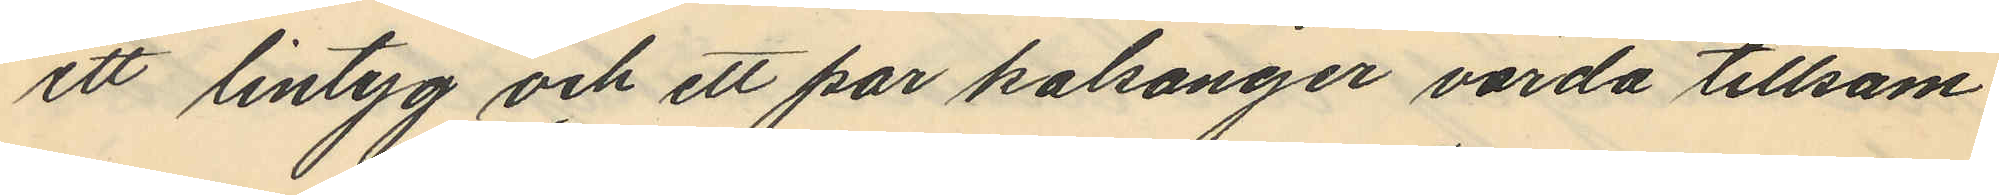ett lintyg och ett par kalsonger värda tillsam¬
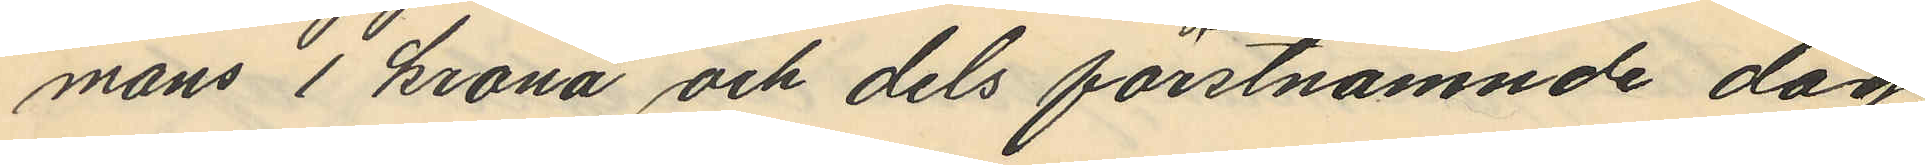mans 1 krona och dels förstnämnde dag
